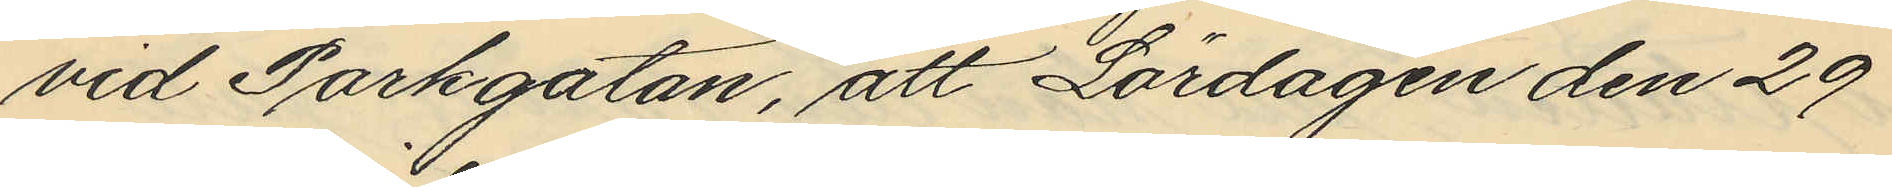vid Parkgatan, att Lördagen den 29
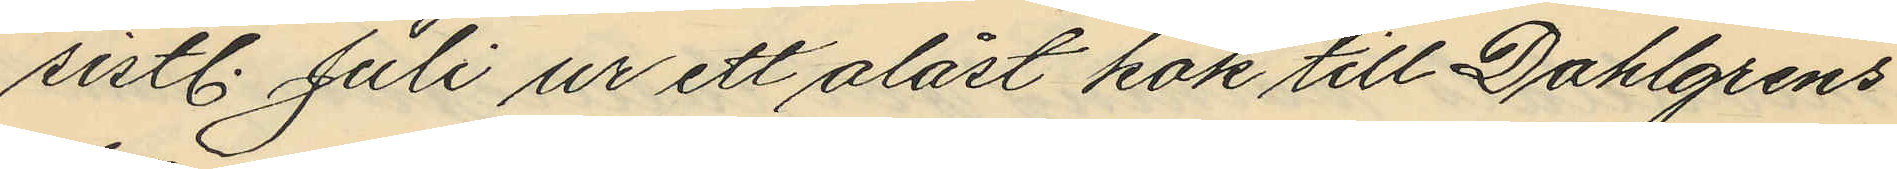sistl. Juli ur ett olåst kök till Dahlgrens
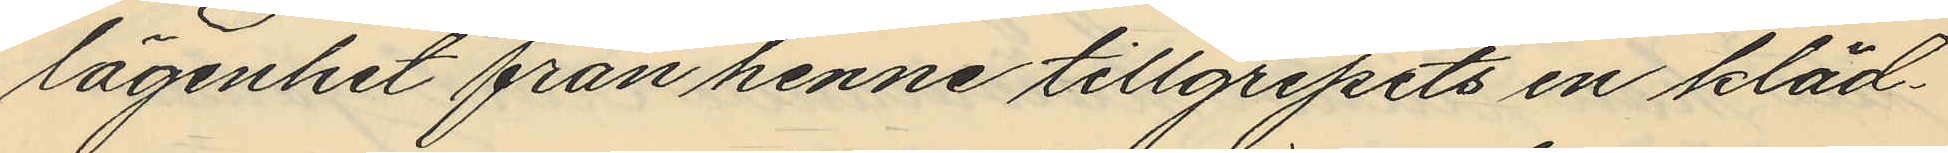lägenhet från henne tillgripits en kläd¬
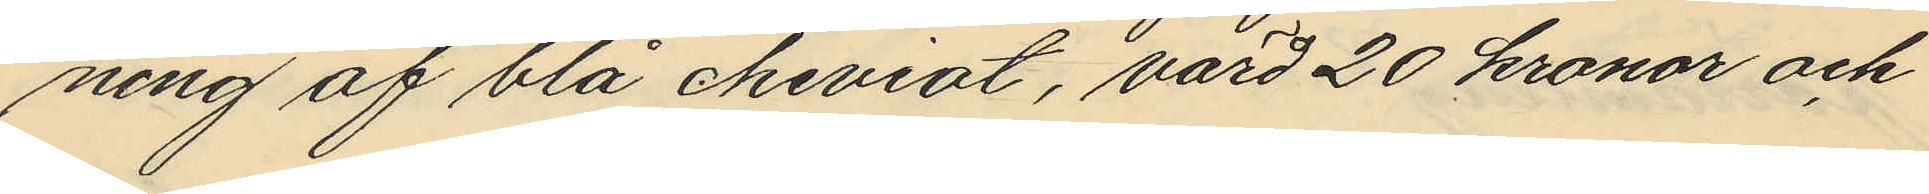ning af blå cheviot, värd 20 kronor och
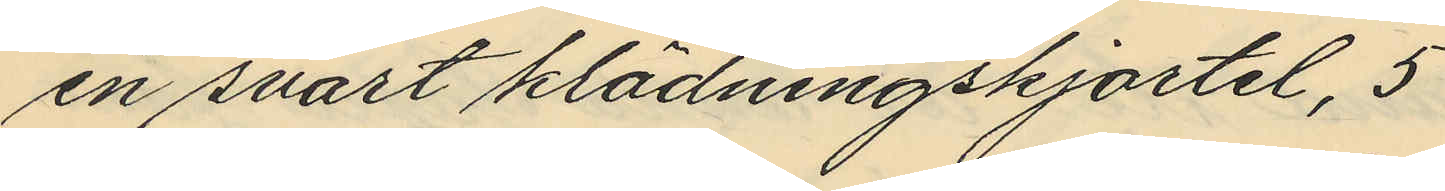en svart klädningskjortel, 5
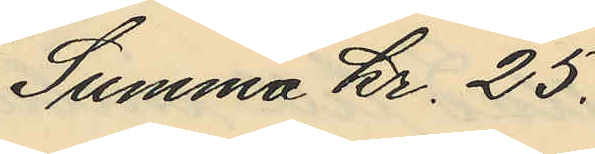Summa Kr. 25.
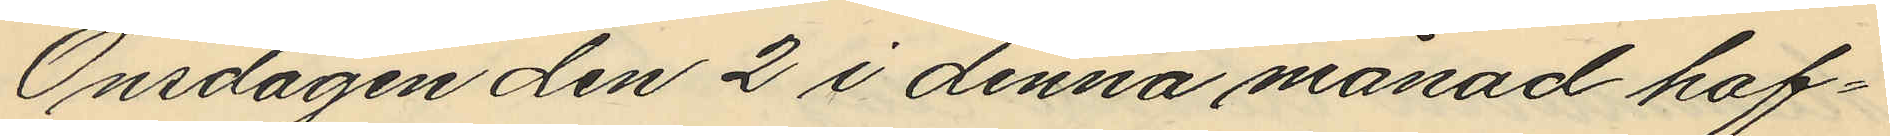Onsdagen den 2 i denna månad haf¬
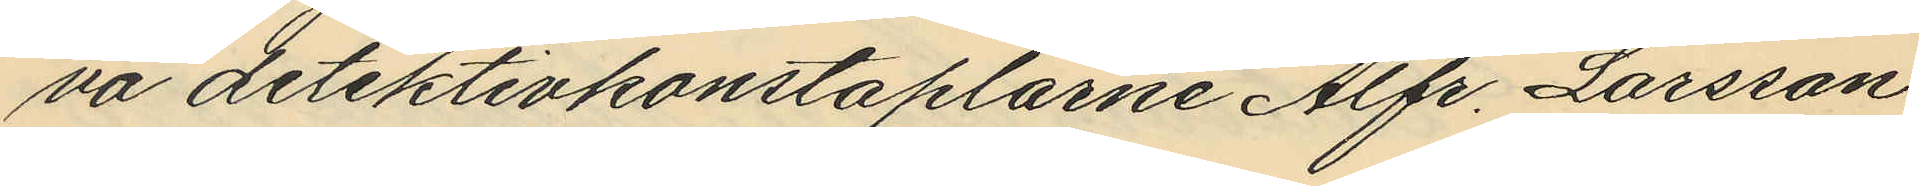va detektivkonstaplarne Alfr. Larsson
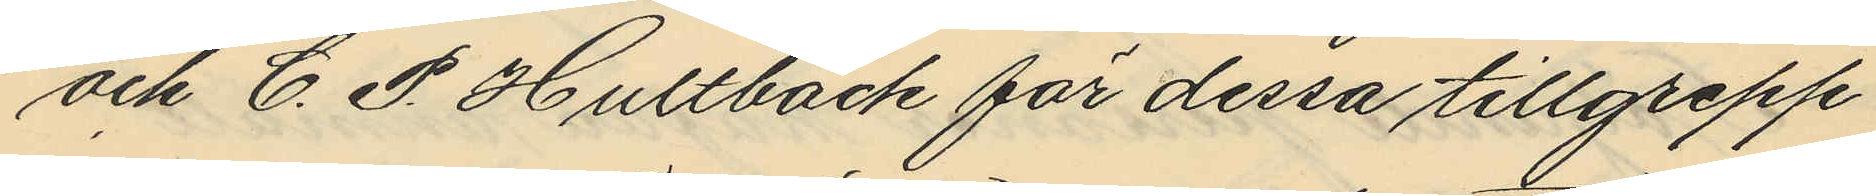och C. P. Hultbäck för dessa tillgrepp
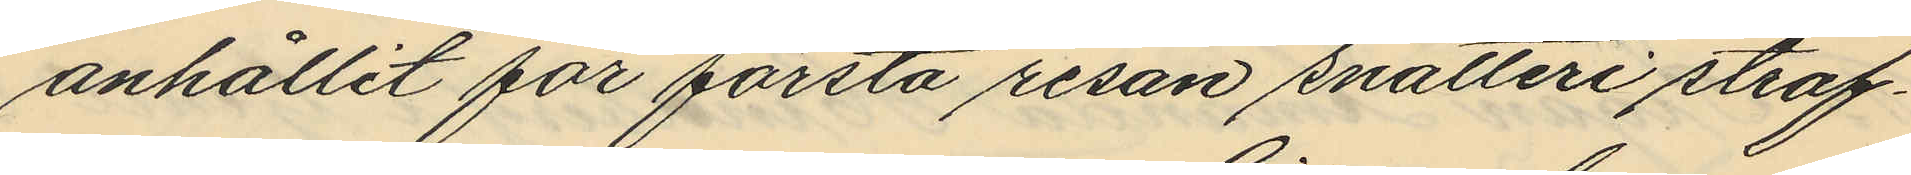anhållit för första resan snatteri straf¬
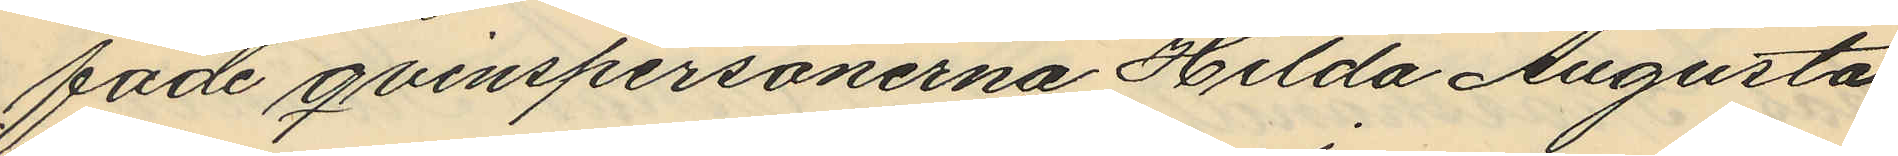fade qvinspersonerna Hilda Augusta
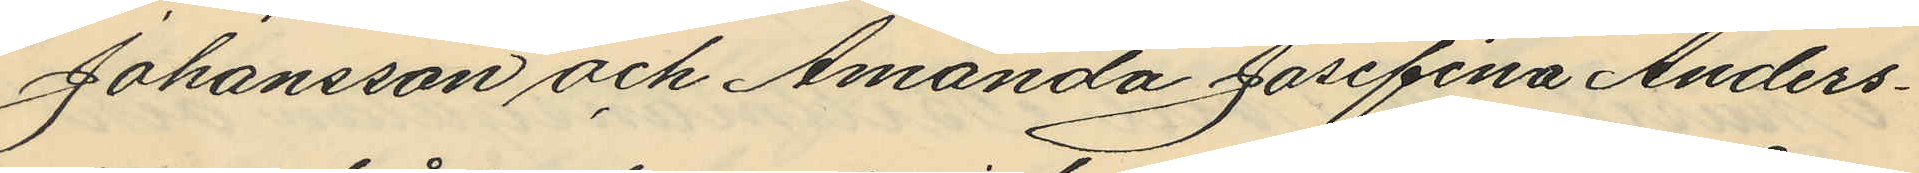Johansson och Amanda Josefina Anders¬
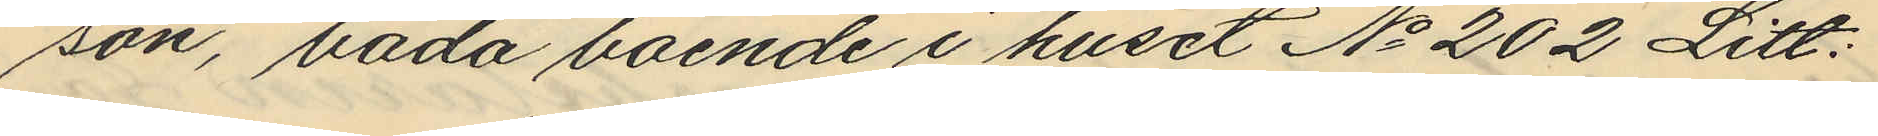son, båda boende i huset No 202 Litt:
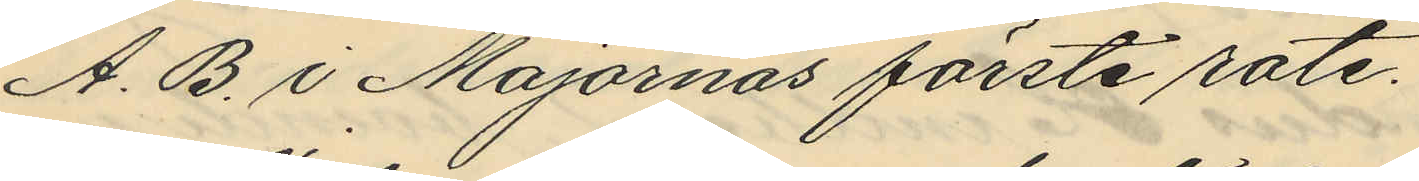A. B. i Majornas förste rote.
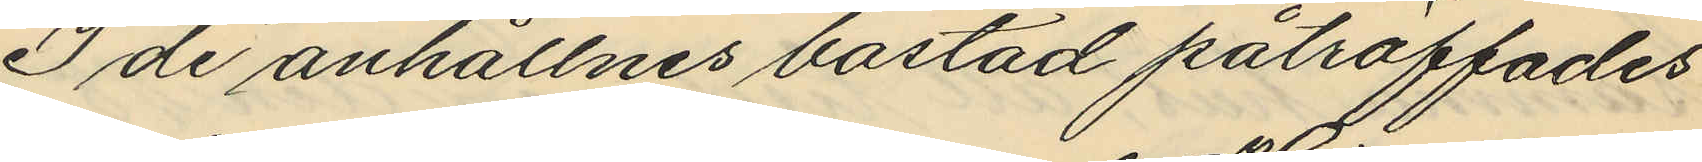I de anhållnes bostad påträffades
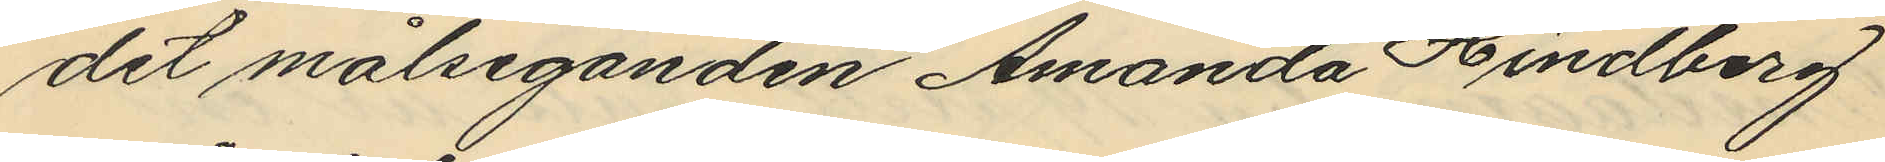det målseganden Amanda Hindberg
